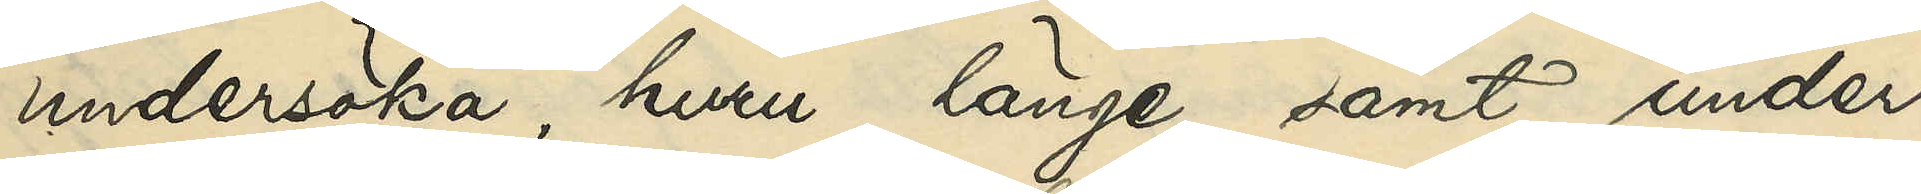undersöka, huru länge samt under
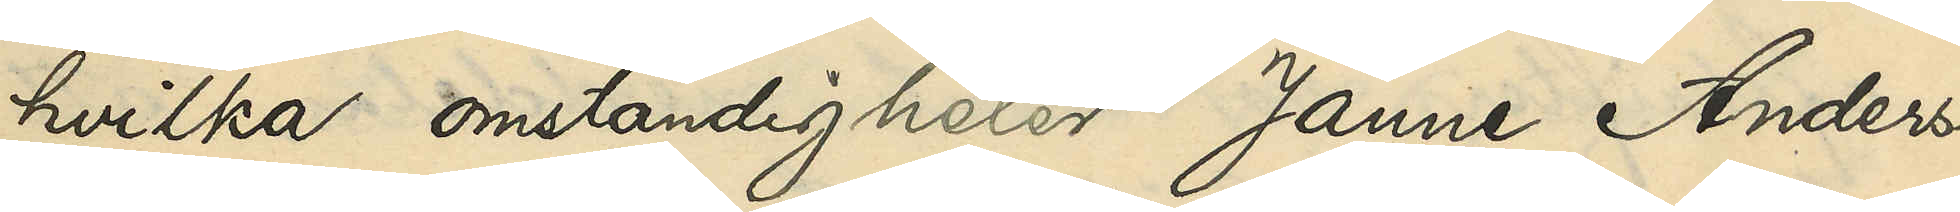hvilka omständigheter Janne Anders¬
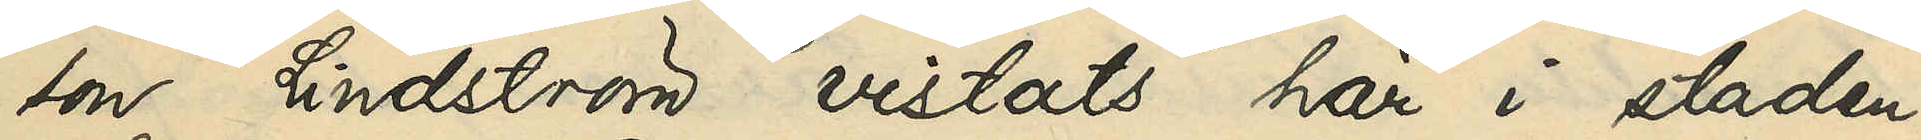son Lindström vistats här i staden,
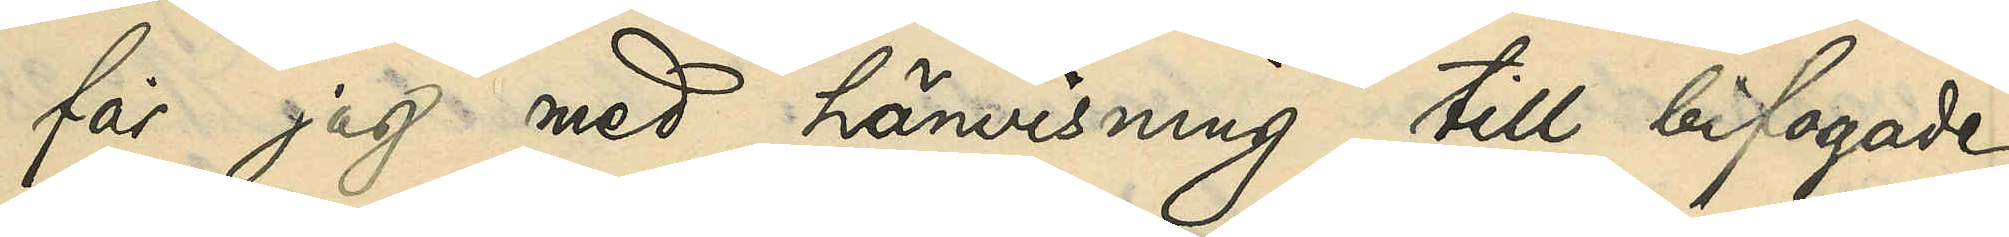får jag med hänvisning till bifogade
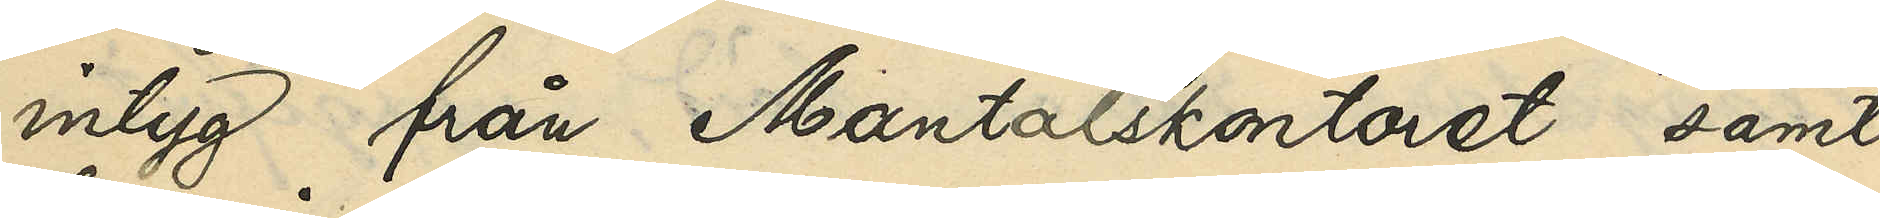intyg från Mantalskontoret samt
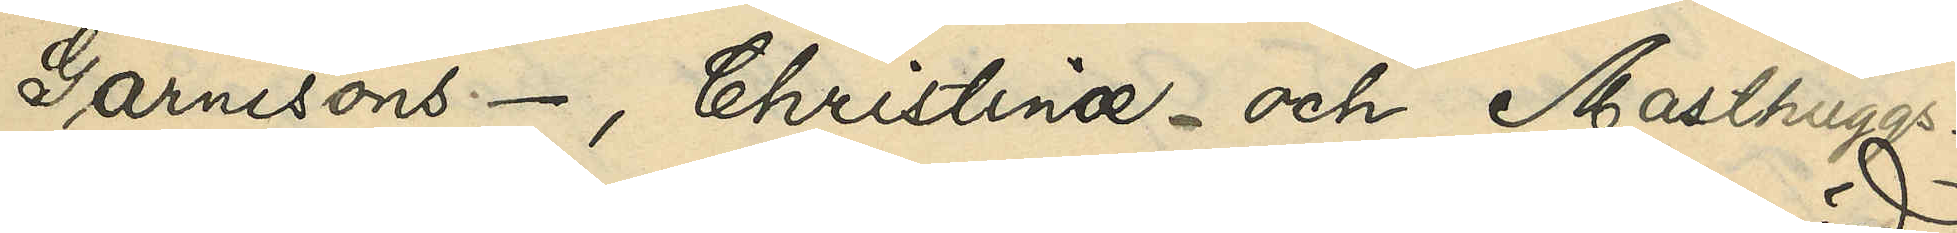Garnisons-, Christinæ- och Masthuggs-
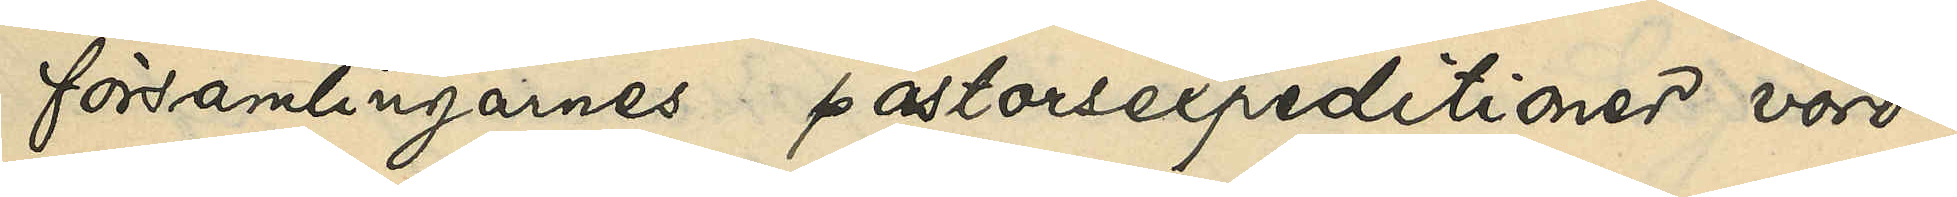församlingarnes pastorsexpeditioner vörd¬
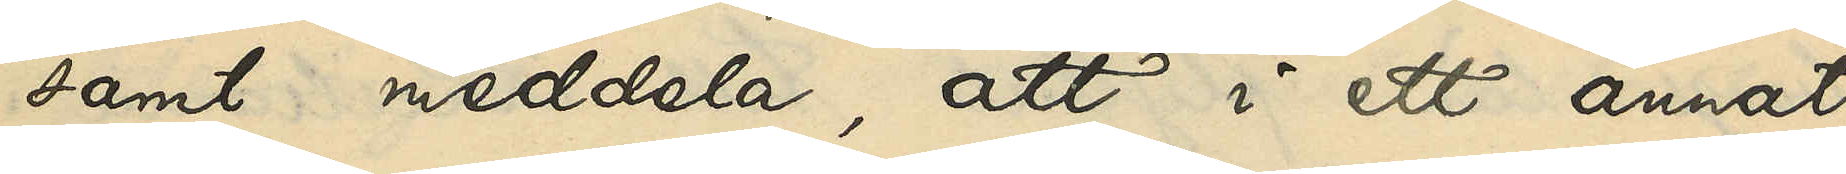samt meddela, att i ett annat
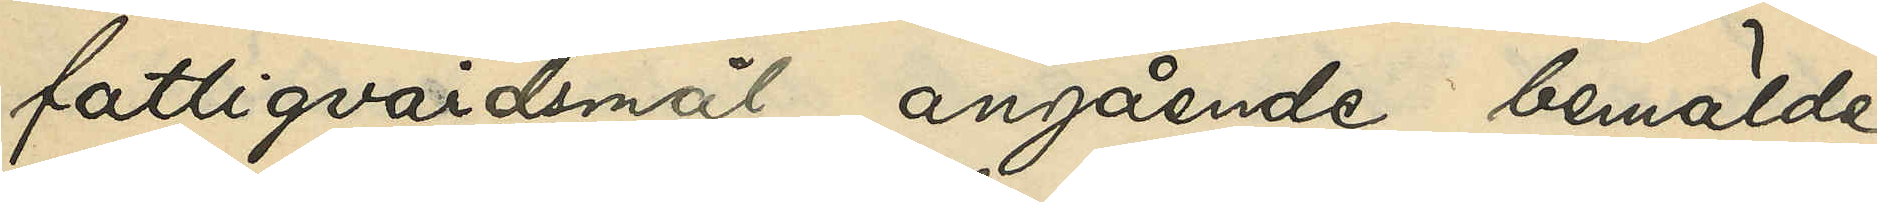fattigvårdsmål angående bemälde
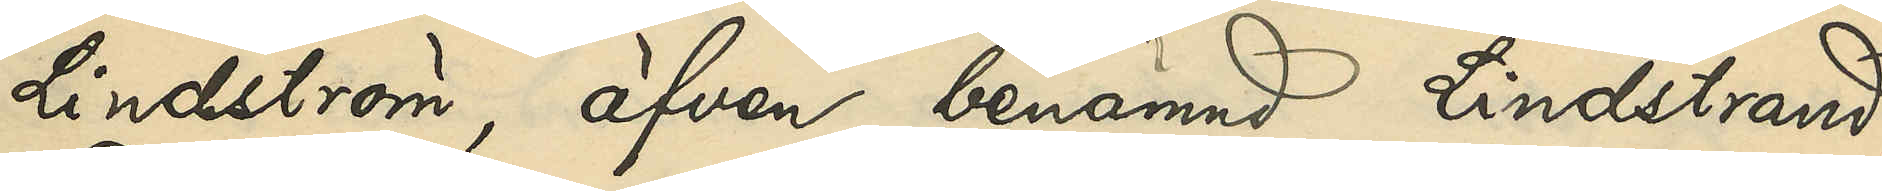Lindström, äfven benämnd Lindstrand,
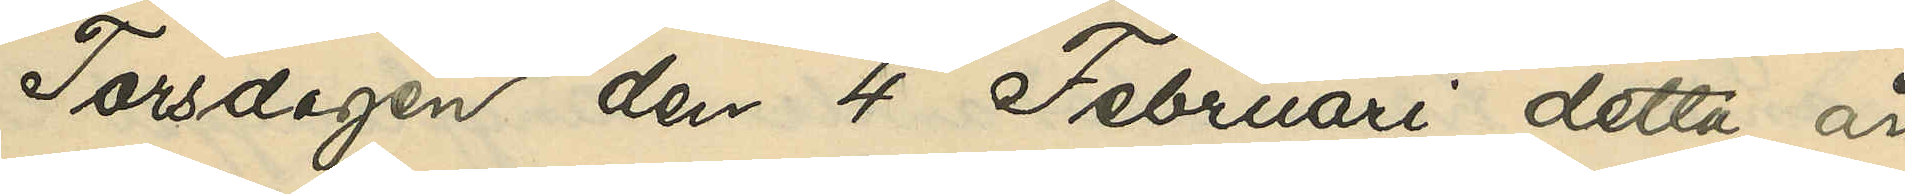Torsdagen den 4 Februari detta år
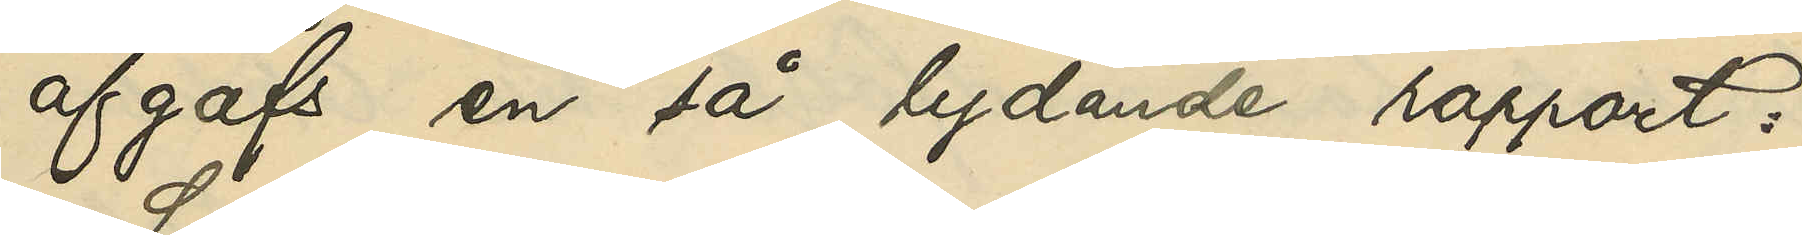afgafs en så lydande rapport:
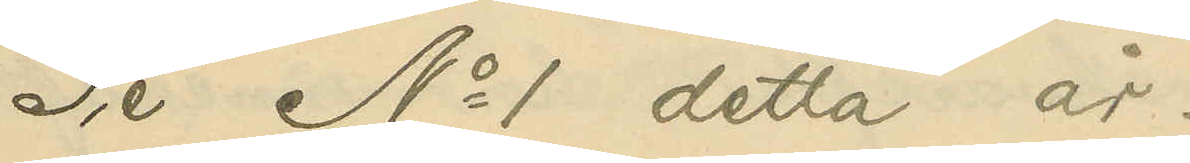Se No 1 detta år.
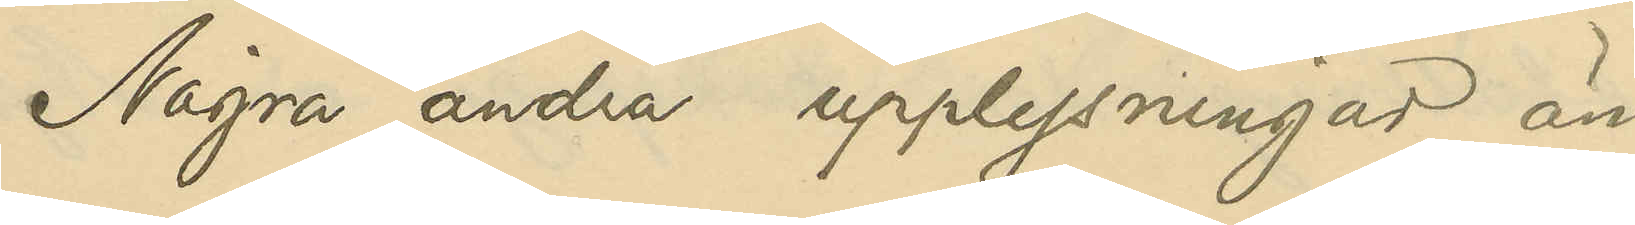Några andra upplysningar än
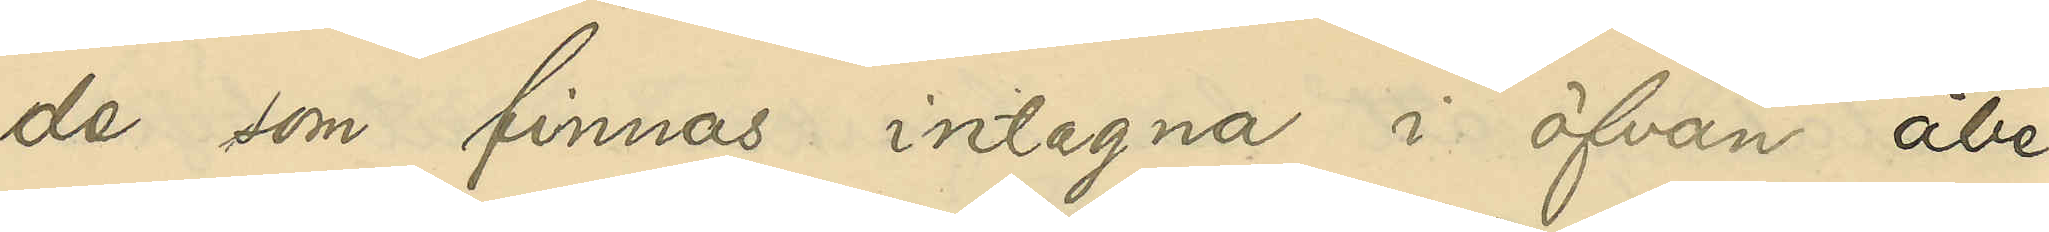de som finnes intagna i öfvan åbe¬
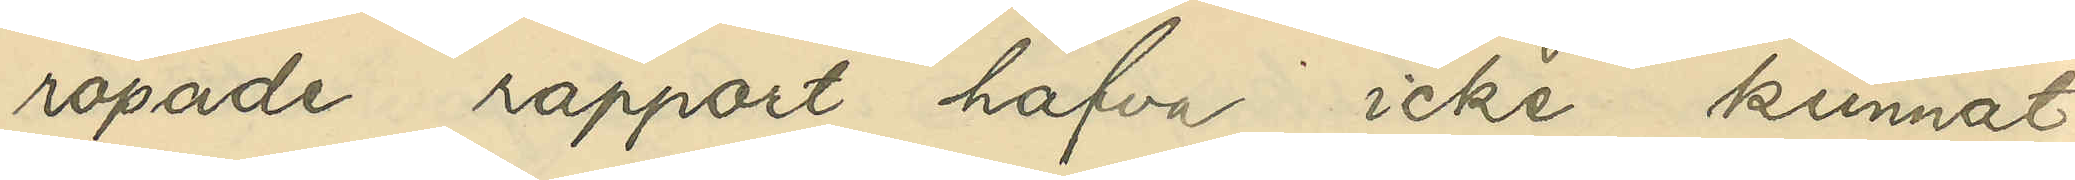ropade rapport hafva icke kunnat
